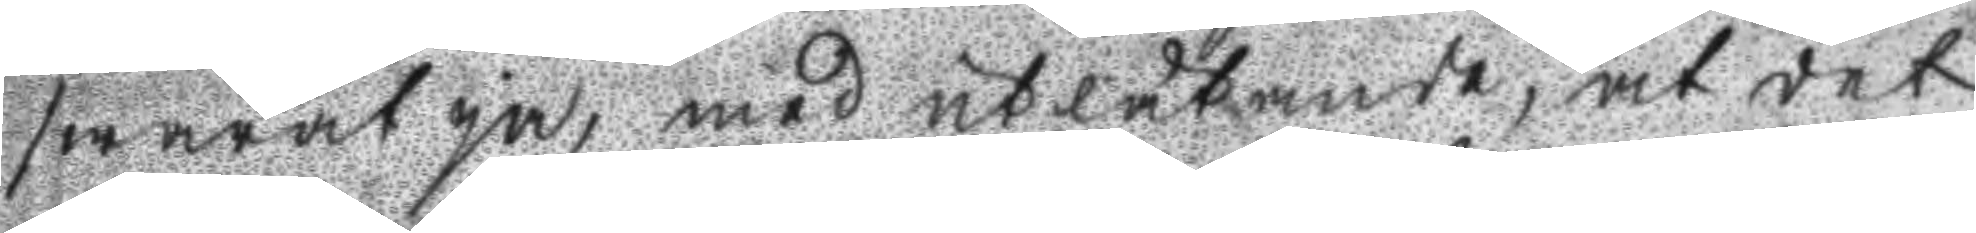swarat ja, med utlåtande, at det
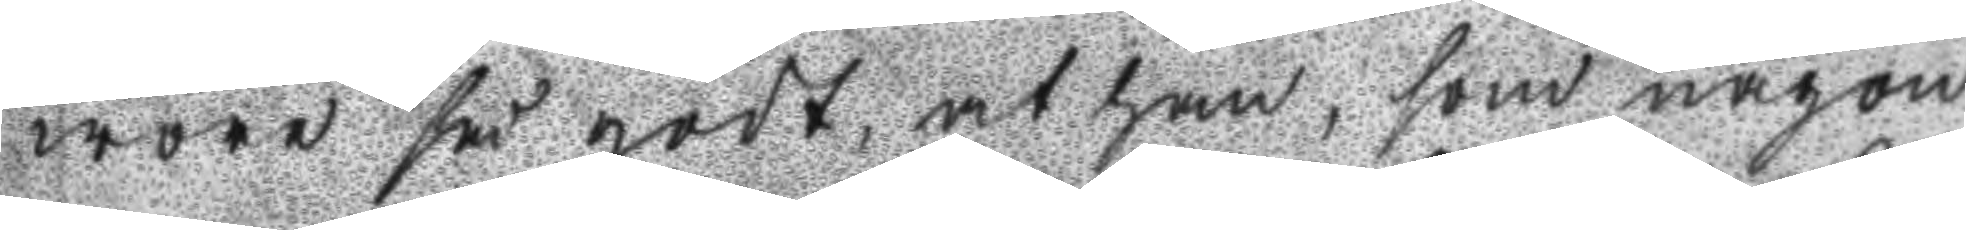wore så godt at han, som någon
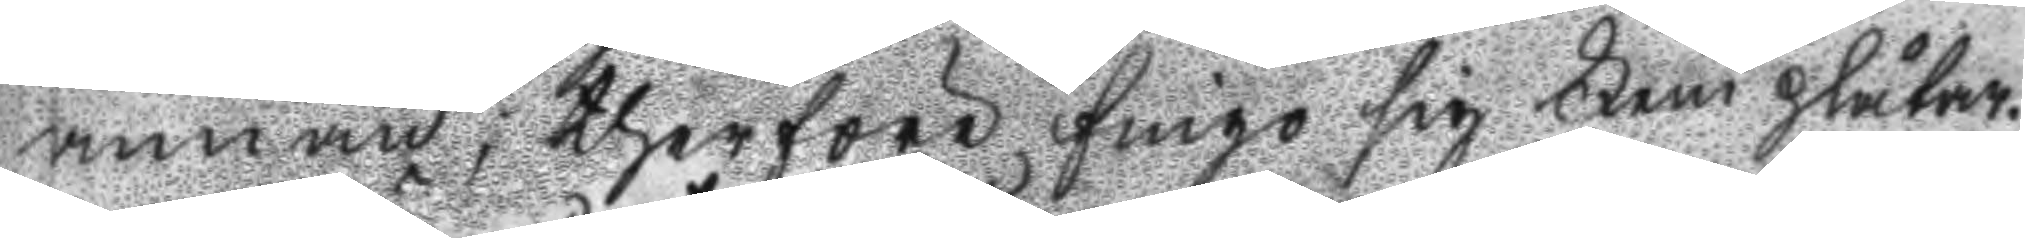annan; therföre fingo sig Fem plåtar.
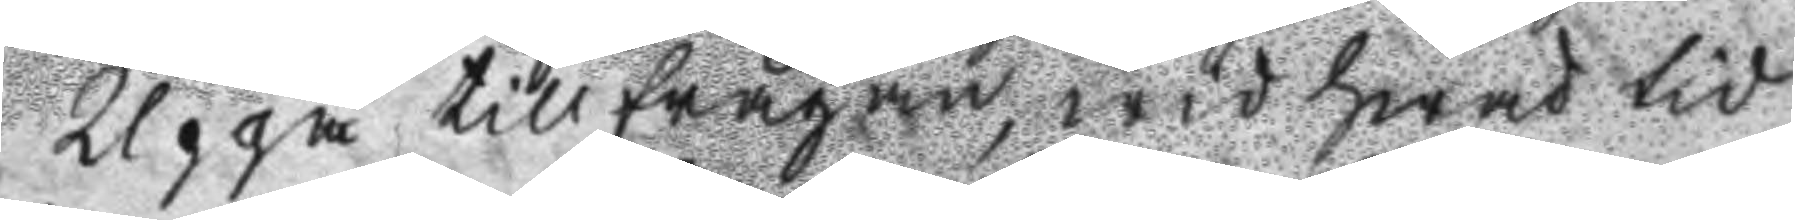Uppå tillfrågan, wid hwad tid
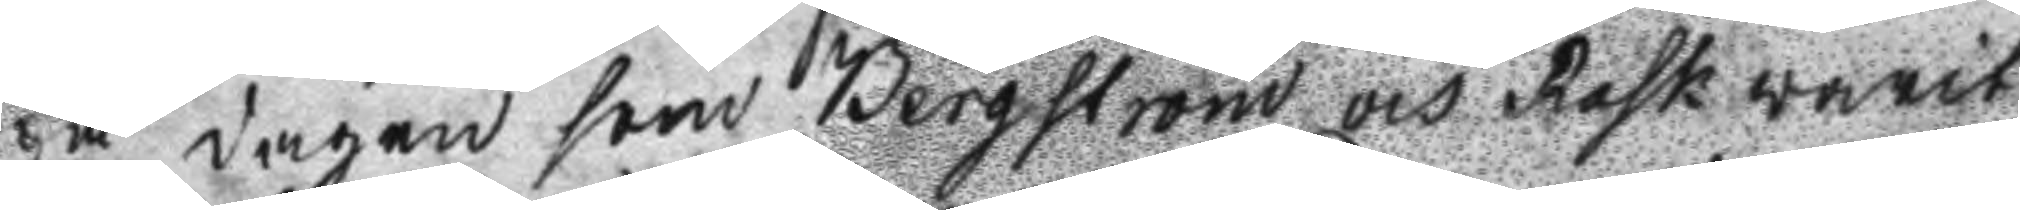på dagen som Bergström och Rask warit
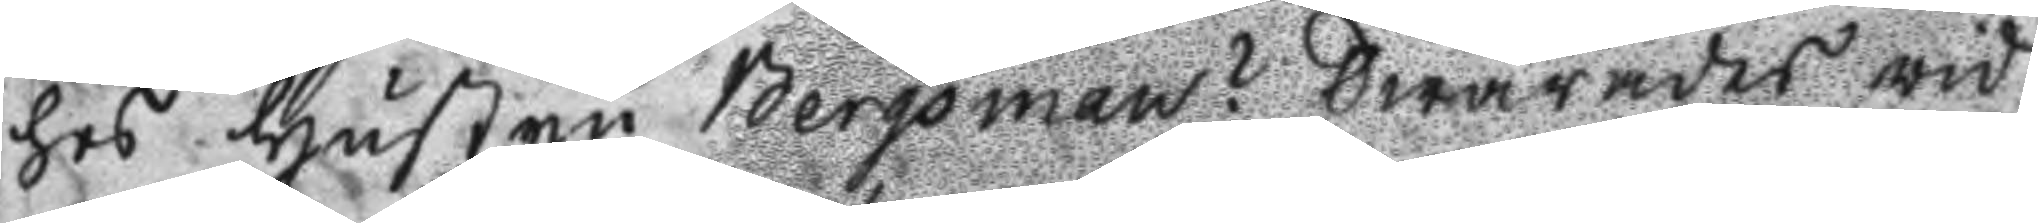hos Hustru Bergsman? Swarades wid
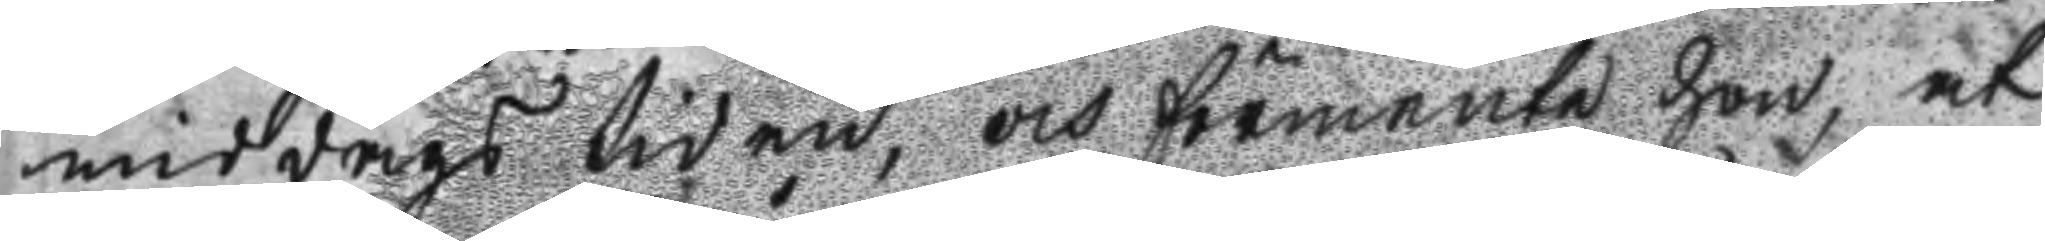middags tiden, och förmente hon, at
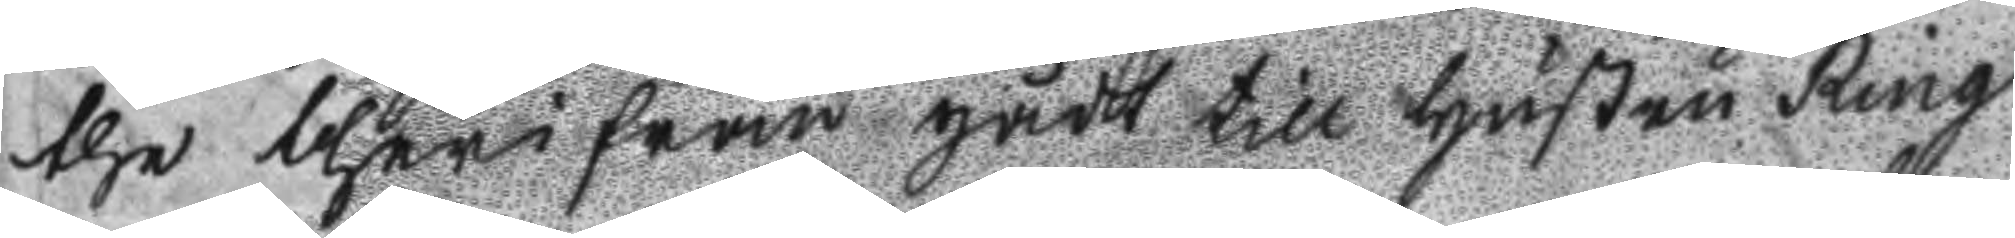the therifrån gådt till Hustru Ring
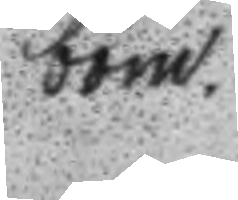bom
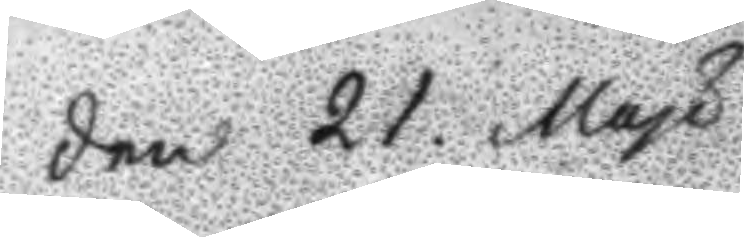Den 21. May
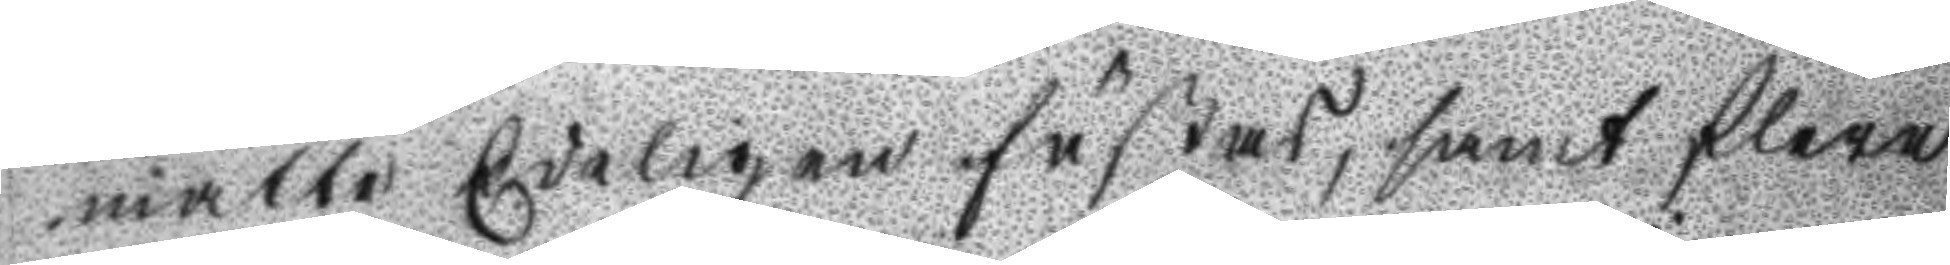måtte Edeligen fästas, samt flere
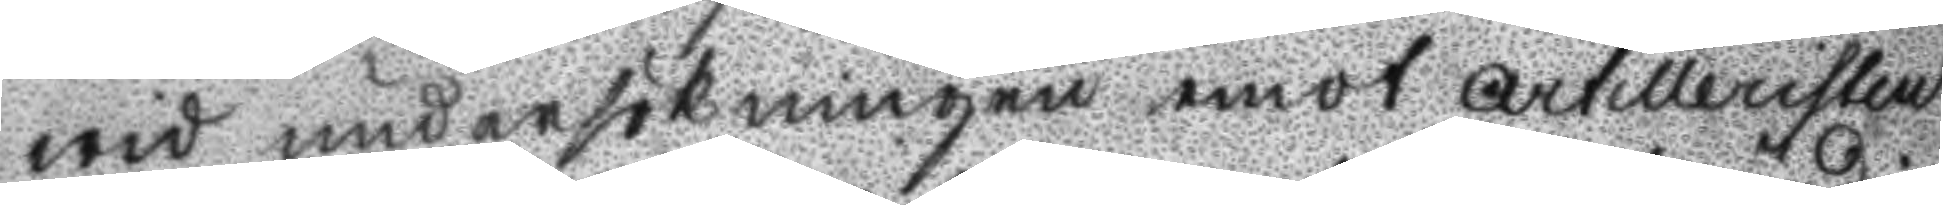wid undersökningen emot artilleristen
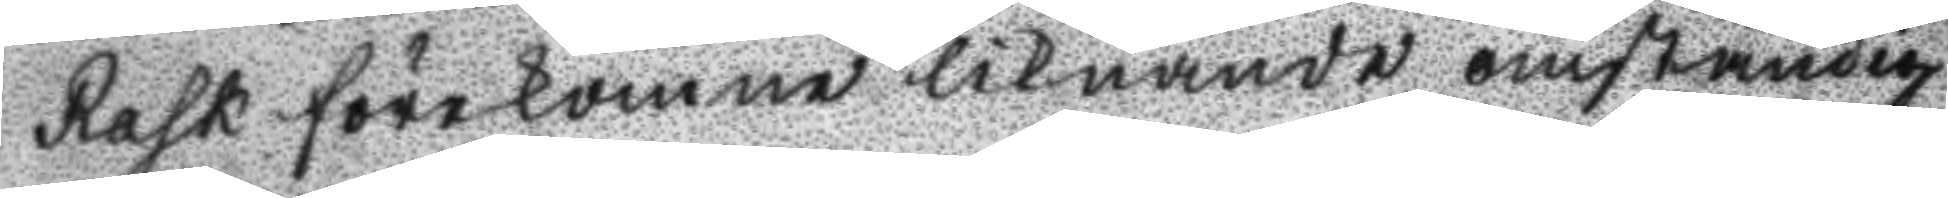Rask förekomne liknande omständig
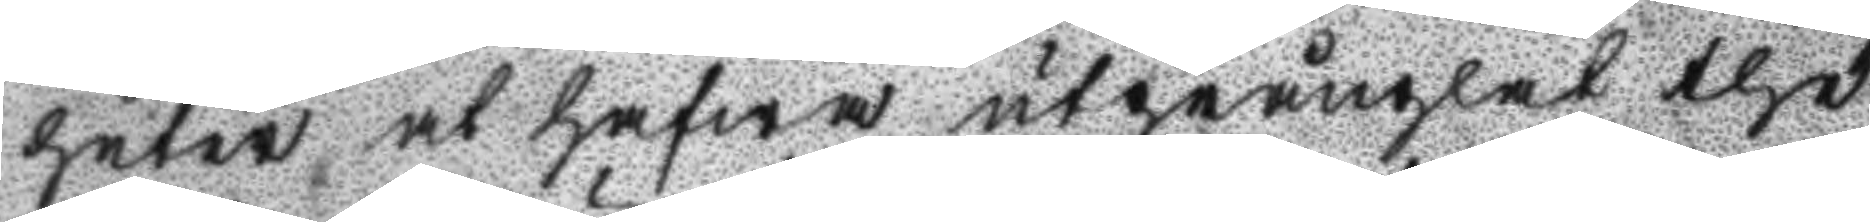heter at hafwa utprånglat the
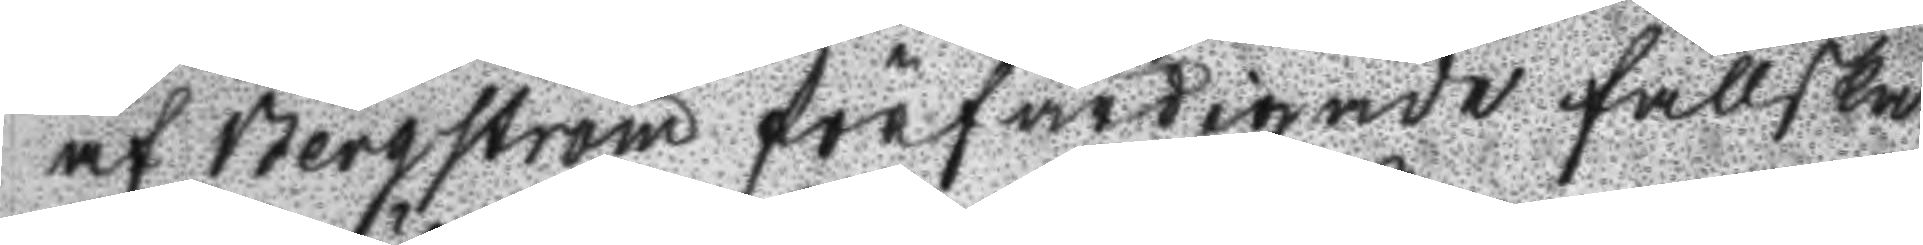af Bergström förfärdigade fallska
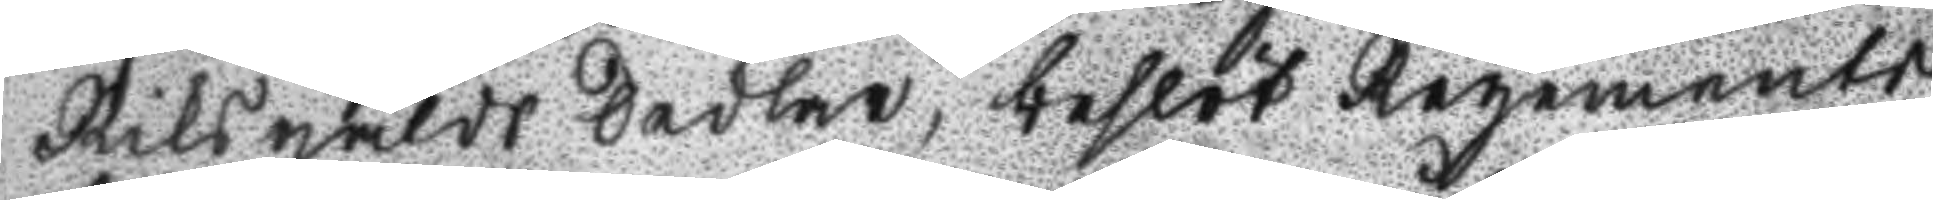Riksgälds Sedlar, beslöt Regements
